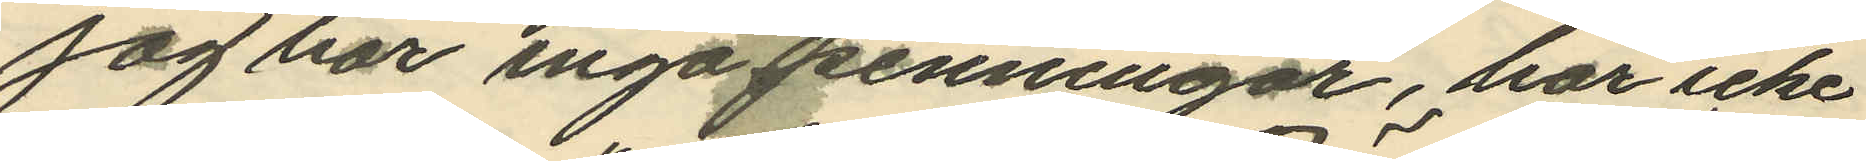jag har inga penningar, har icke
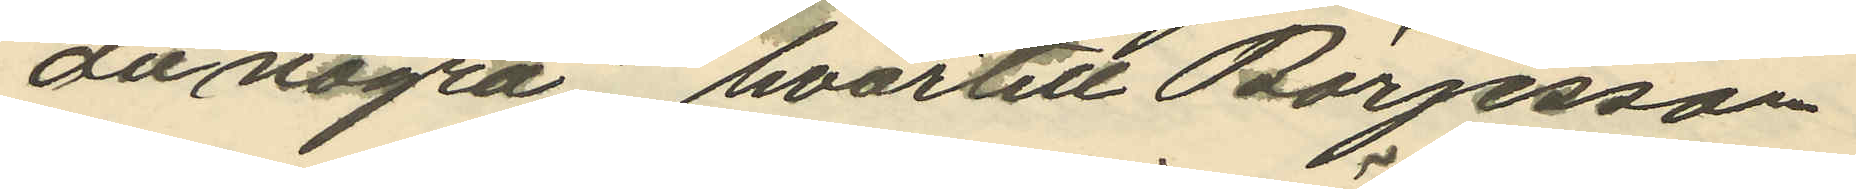du några", hvartill Börjesson
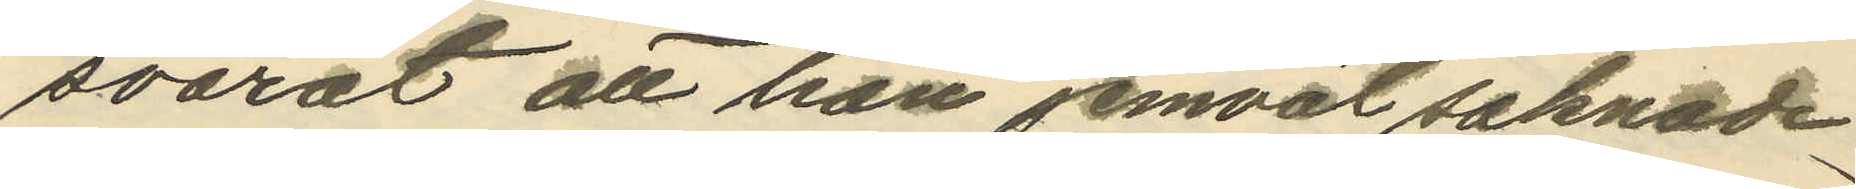svarat att han jemväl saknade
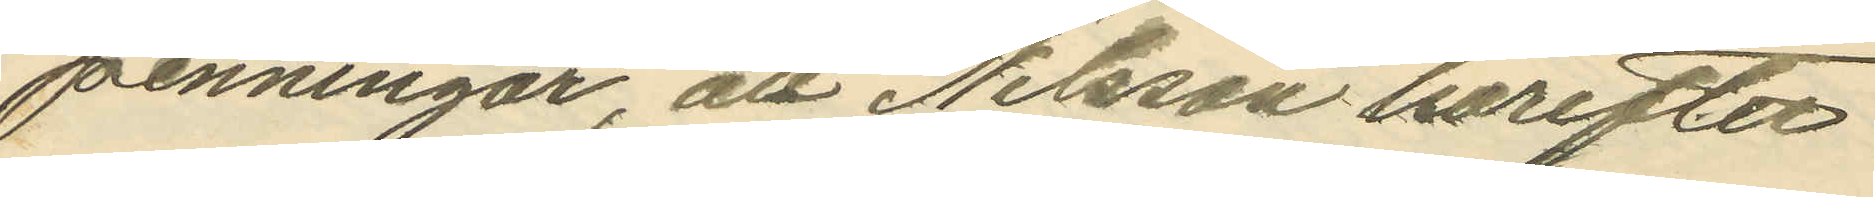penningar, att Nilsson härefter
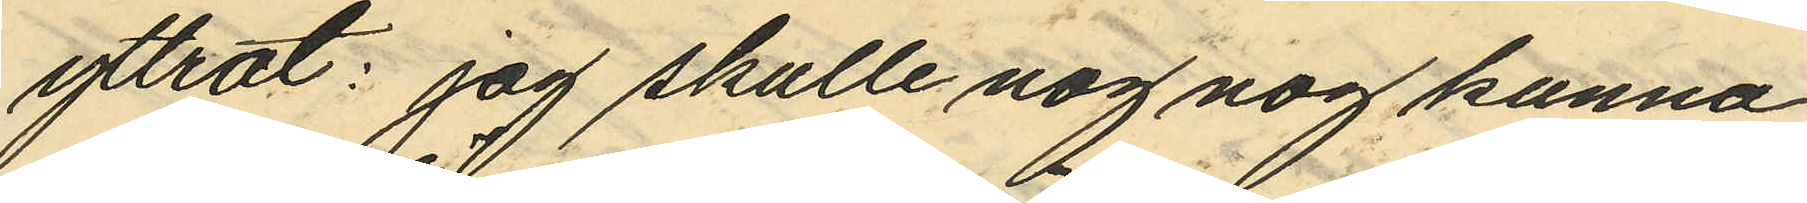yttrat: jag skulle nog nog kunna
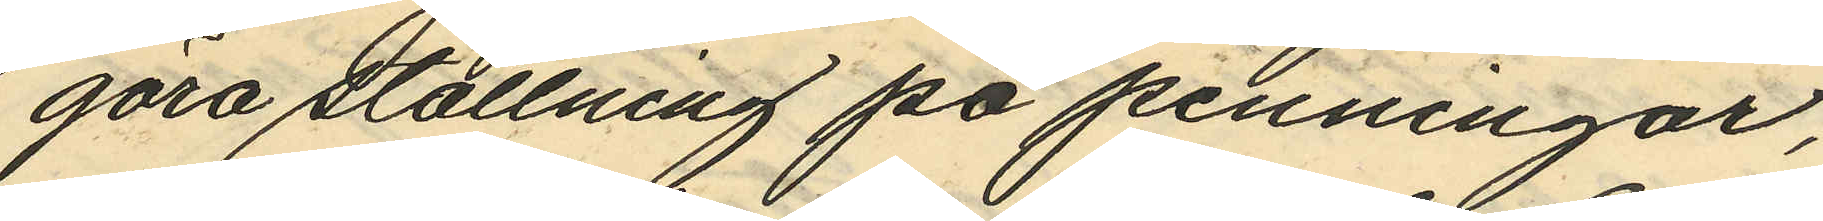göra ställning på penningar,
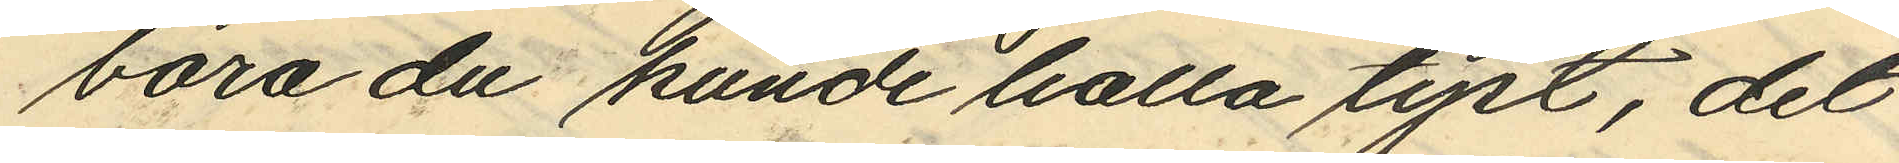bara du kunde halla tyst, det
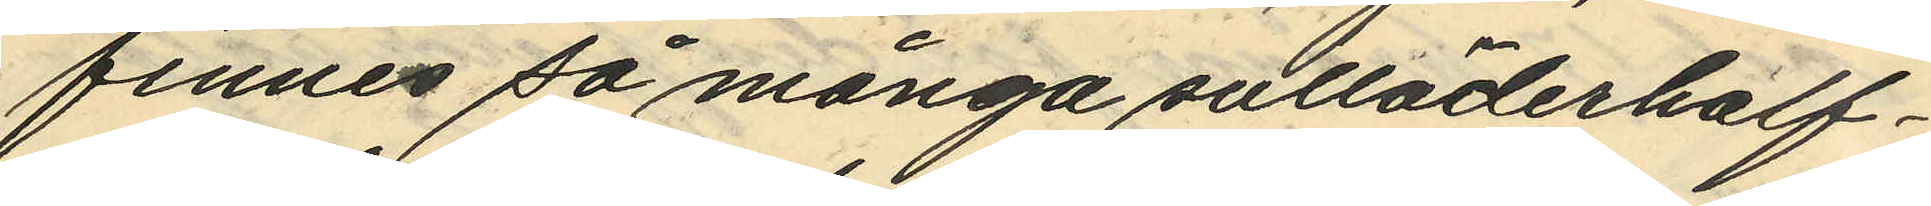finnes så många sulläderhalf¬
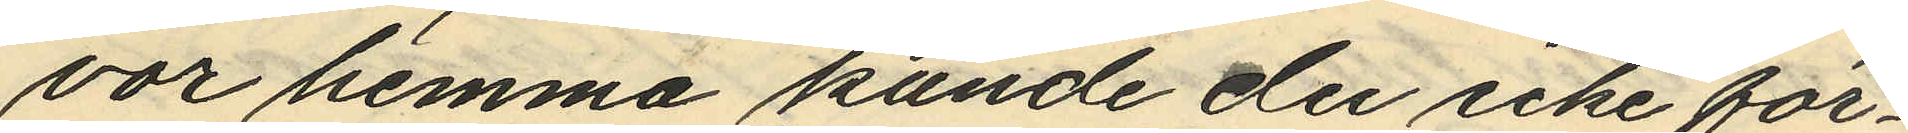vor hemma kunde du icke för¬
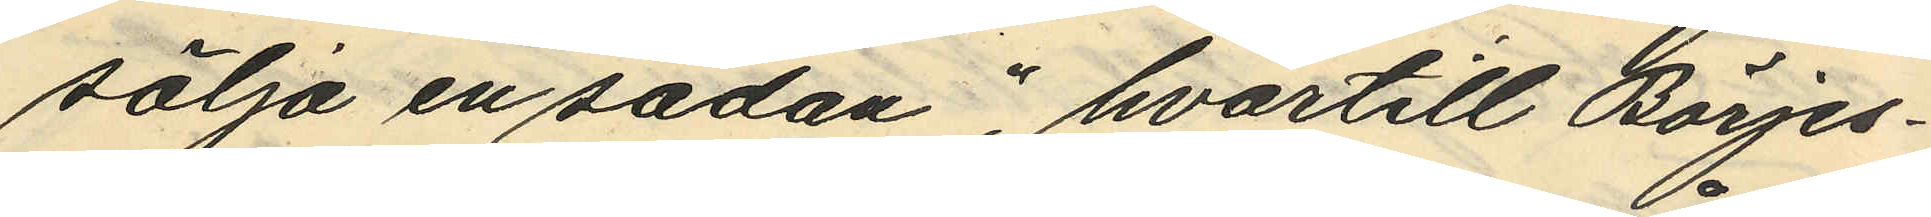sälja en sådan", hvartill Börjes¬
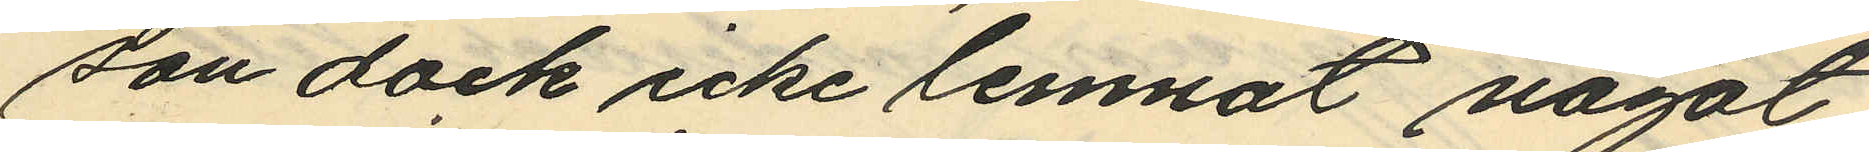son dock icke lemnat något
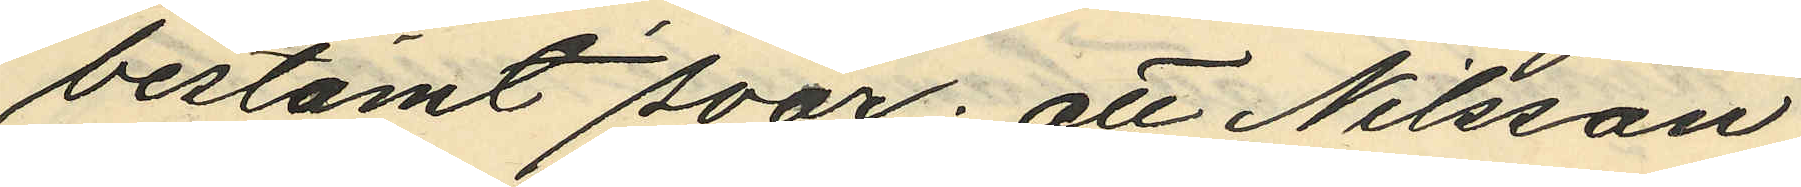bestämt svar; att Nilsson
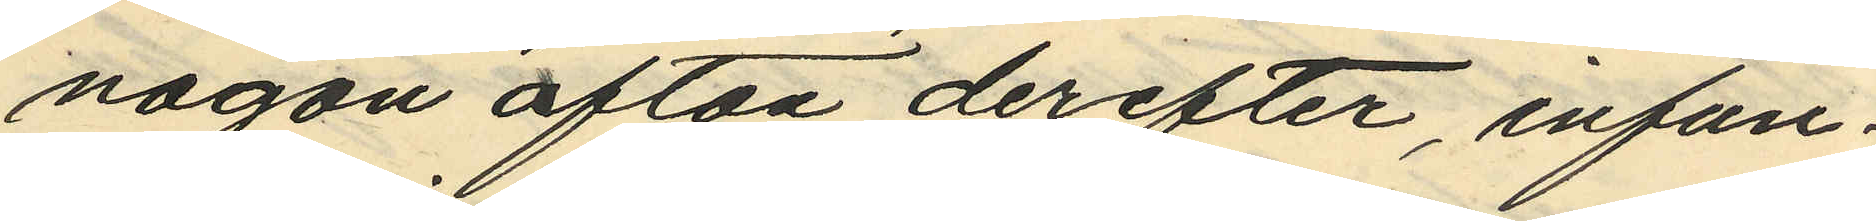någon afton derefter, infun¬
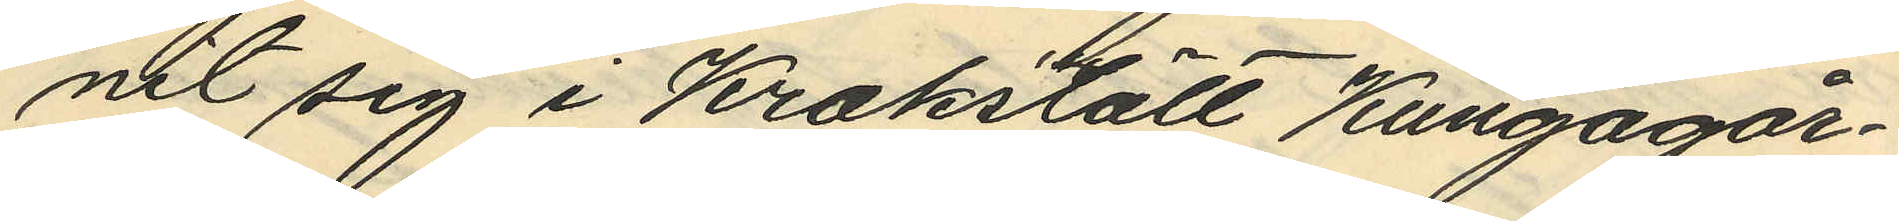nit sig i Krokslätt Kungagår¬
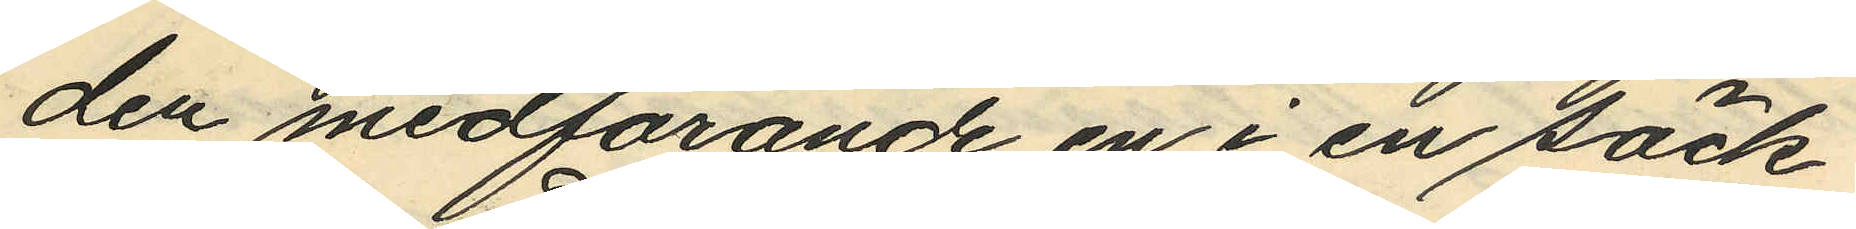den medförande en i en säck
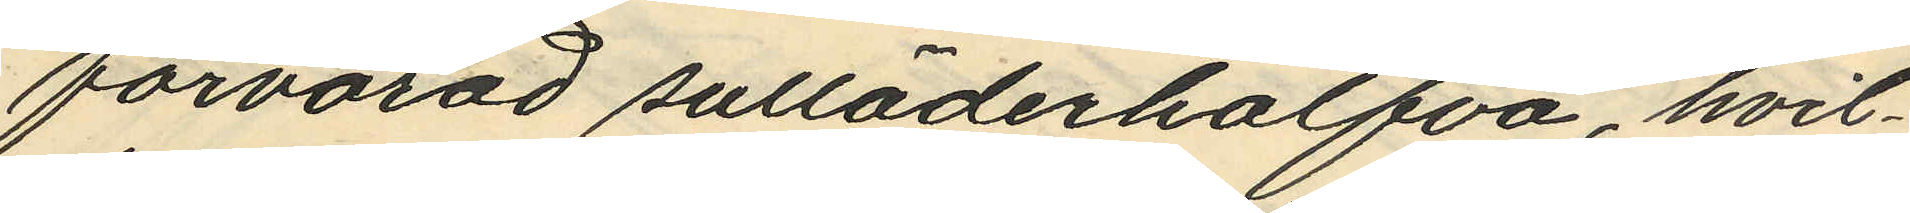förvarad sulläderhalfva, hvil¬
